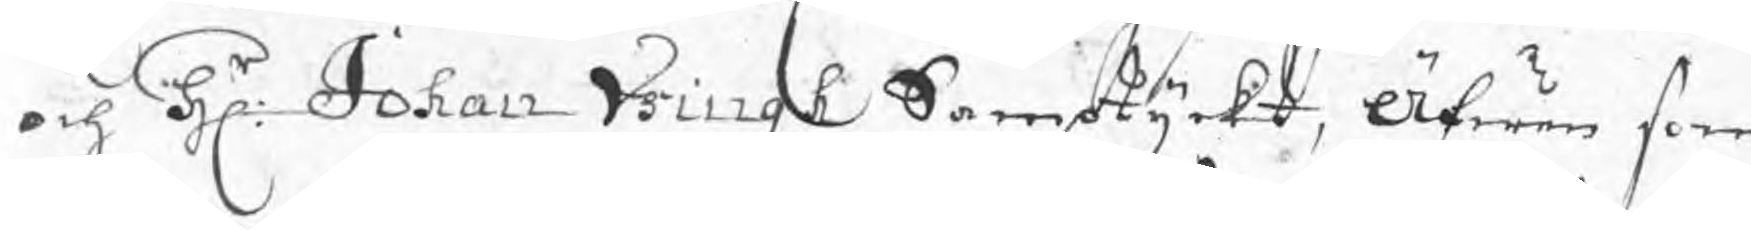och Hr: Johan Ysingh Samtyckt, Äfwen som
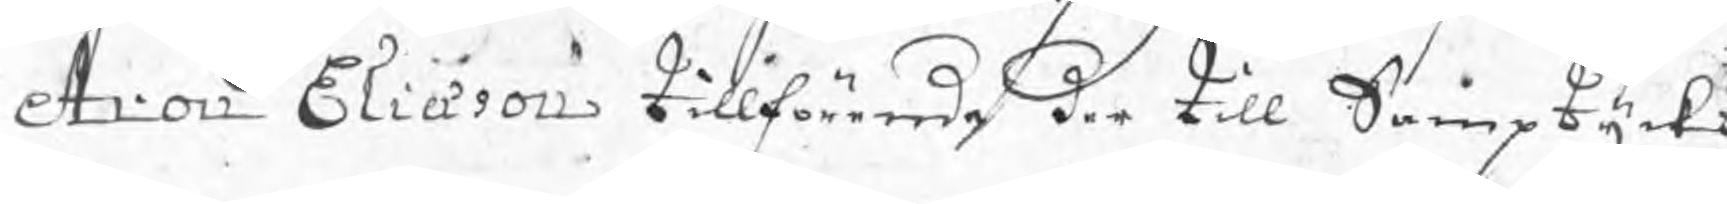Aron Eliason tillförende der till Samptyckt
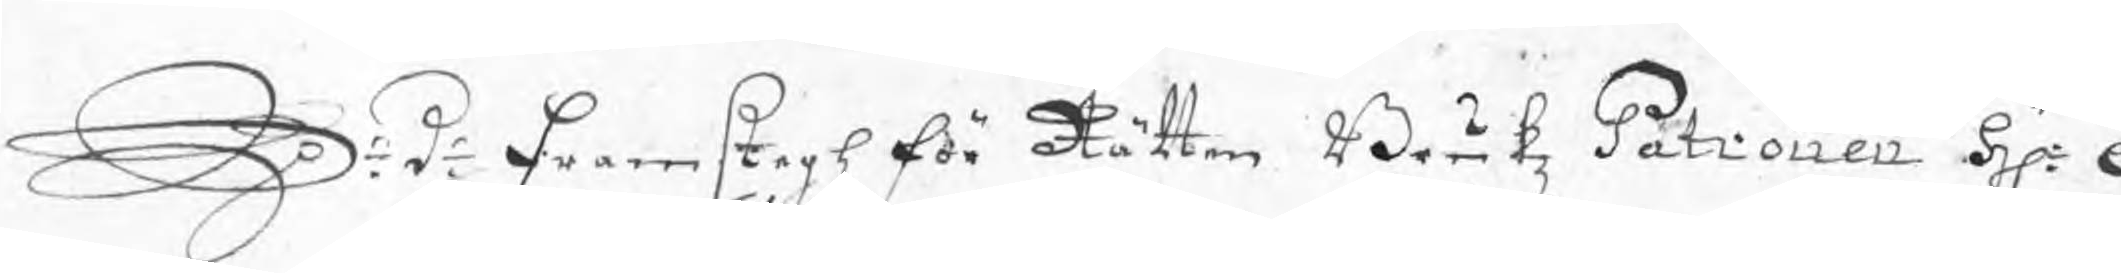S: d: Framstegh för Rätten Brukz Patronen Hr: A
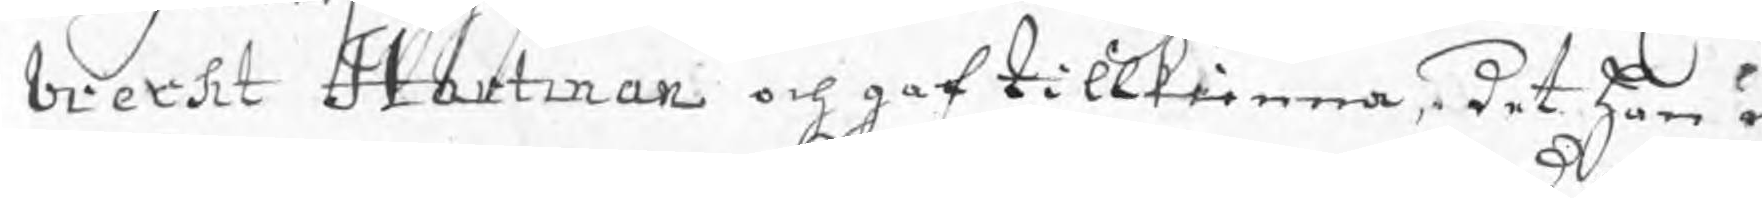brecht Hartman och gaf tillkienna det han o
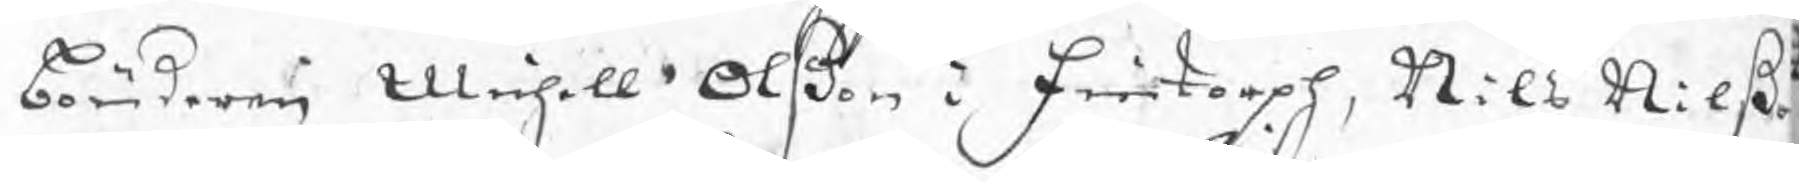bönderne Michell Olßon i Fintorph, Nils Nilß
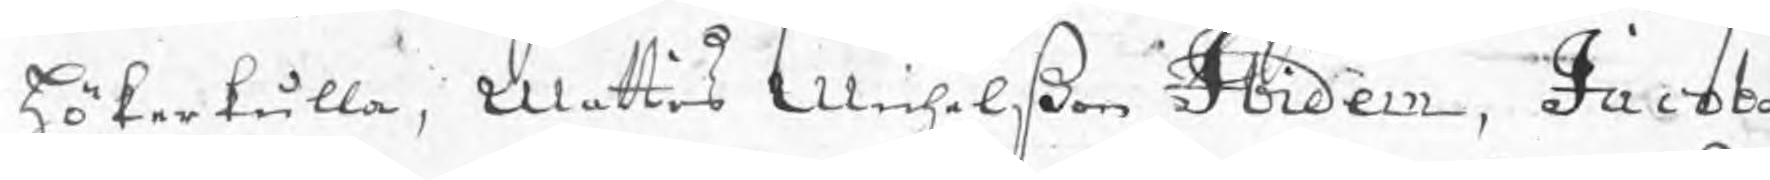Hökerkulla, Mattis Michelßon Ibidem, Jacob
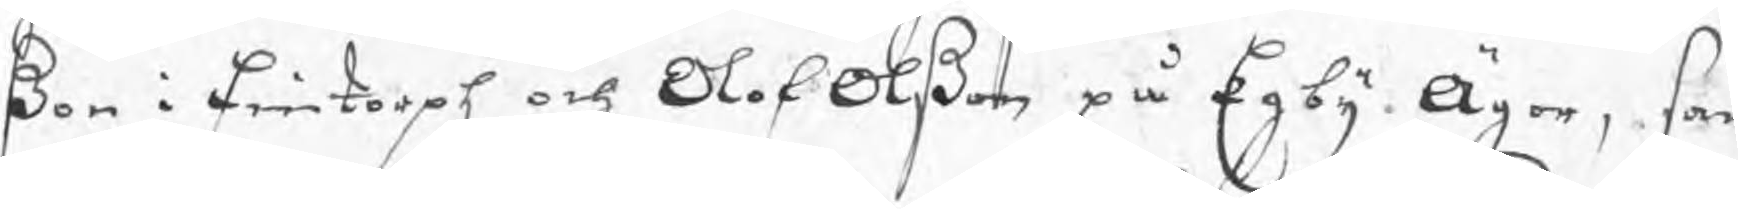ßon i Fintorph och Olof Olßon på Egby Ägor, som
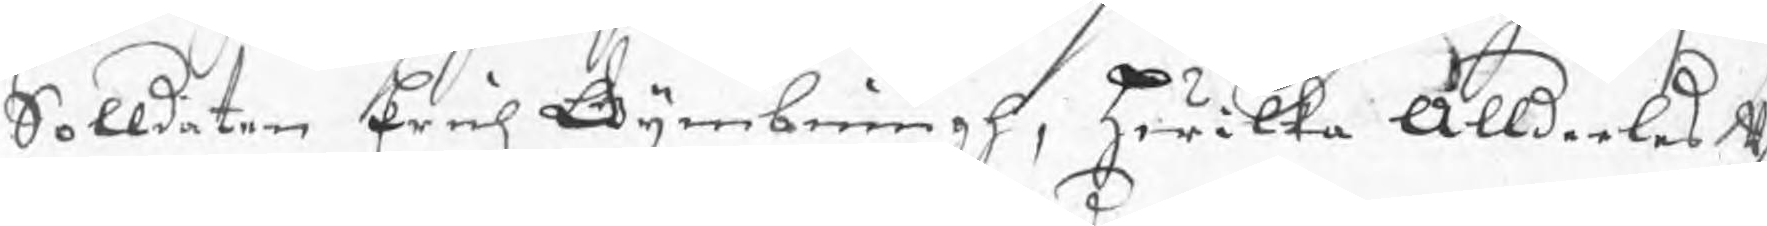Soldaten Erich Gymbringh, hwilka Alldeles u
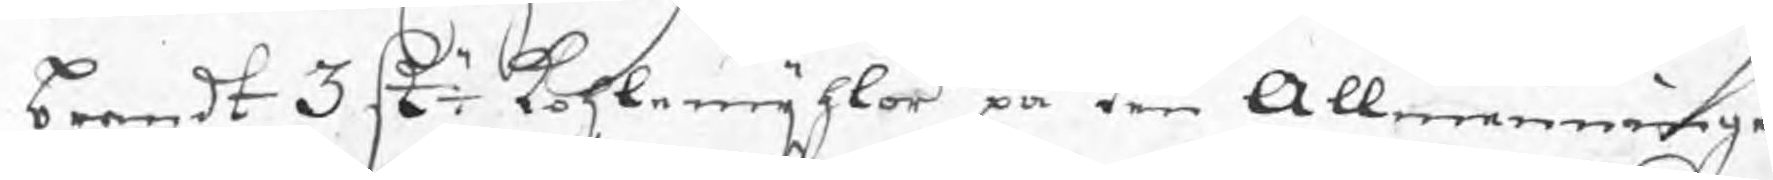brendt 3 st: kohlmijhlor på den Allmenningen
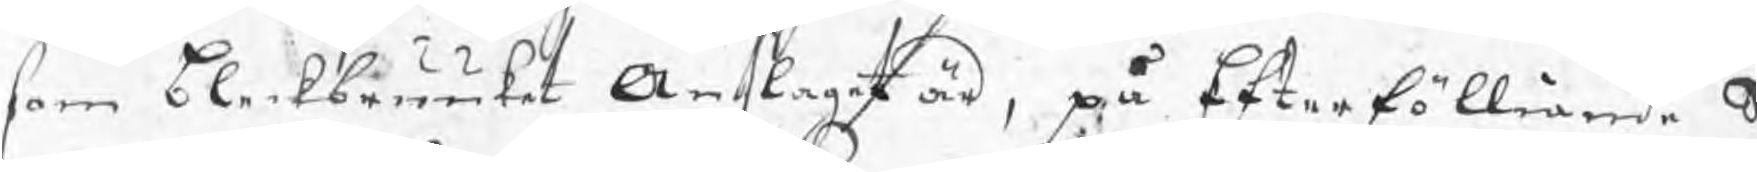som bleckbruuket Anslaget är, på Efterfölliande S
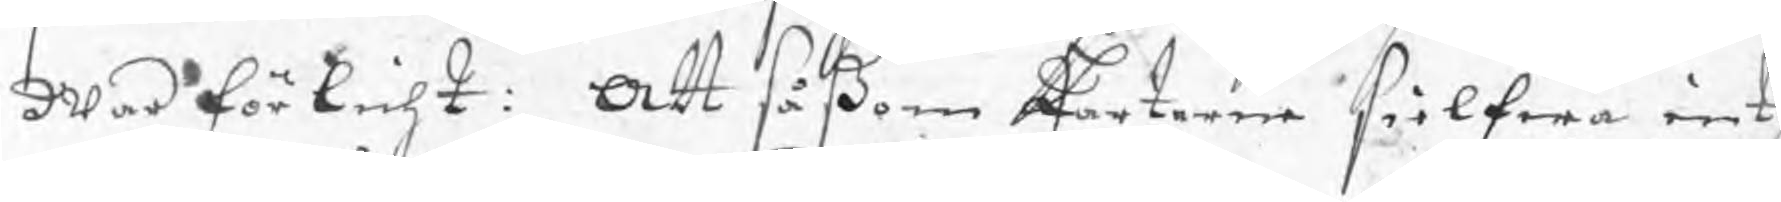war förlicht: Att såßom Parterne sielfwa inth
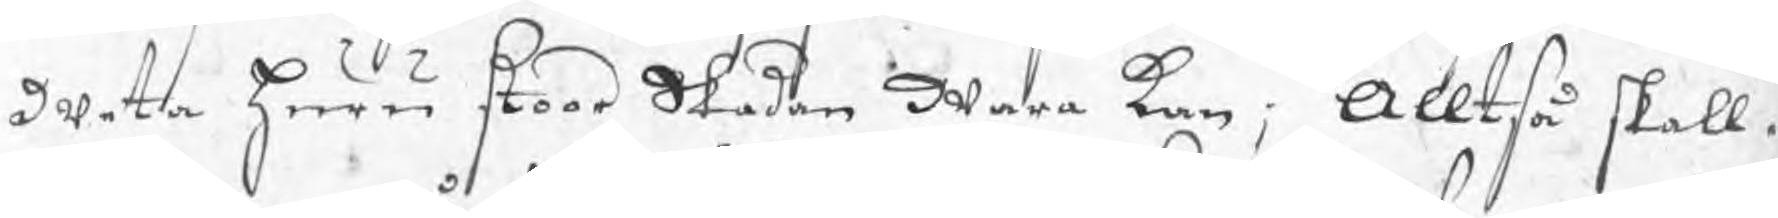weta huru stoor Skadan wara kan; Alltså skall
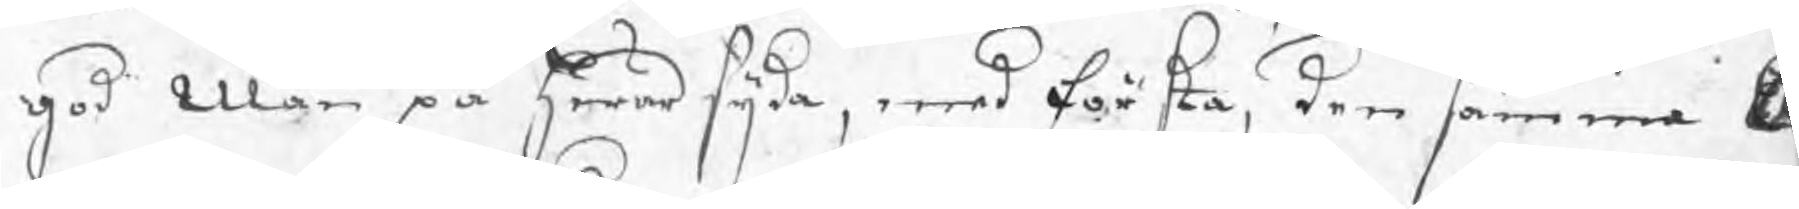god Man på hwar sijda, med första, den samma A
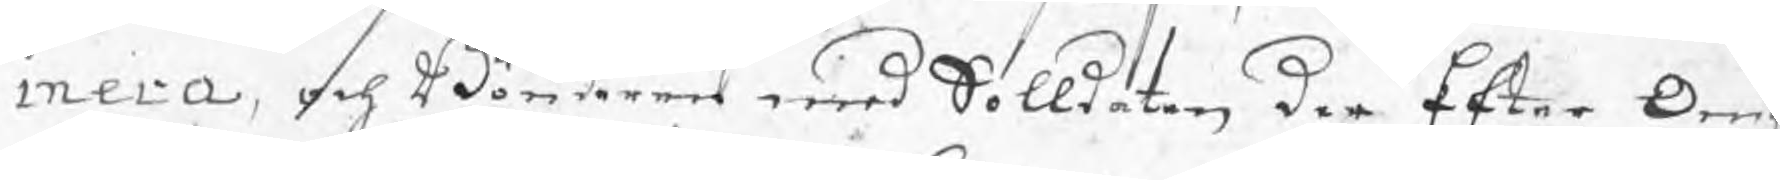mera, och Bönderne med Solldaten den Efter Om
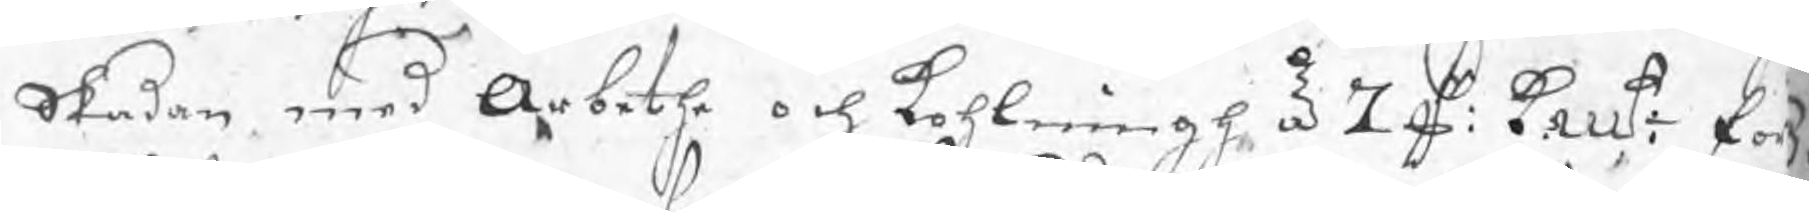Skadan med Arbethe och kohlningh à 7 d kmt: fö
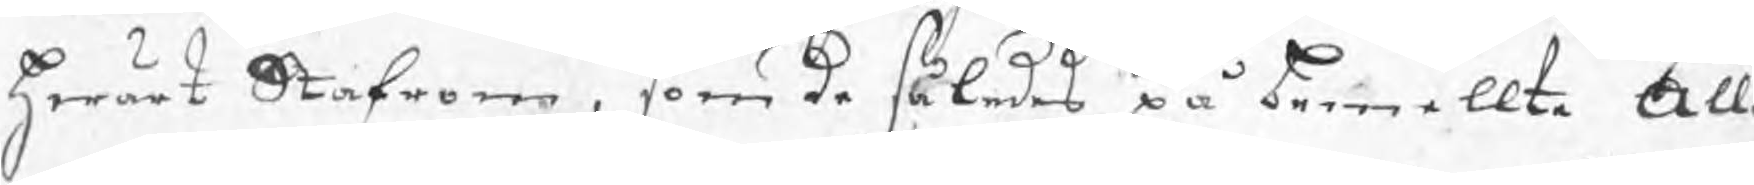hwart Stafrom, som de således på bemellte All
